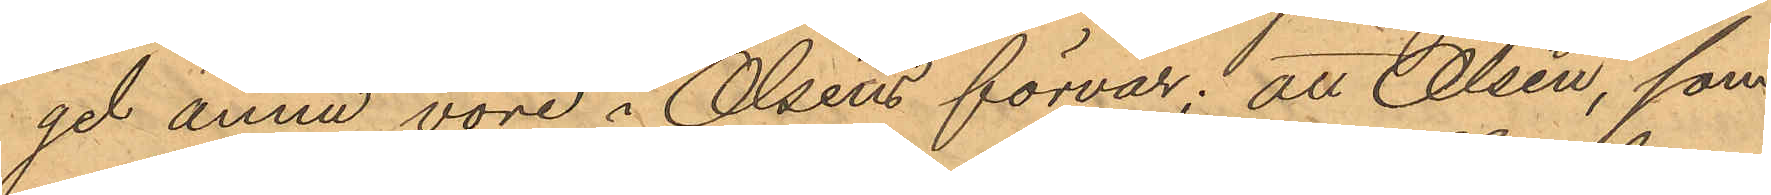gel ännu vore i Olséns förvar; att Olsén, som
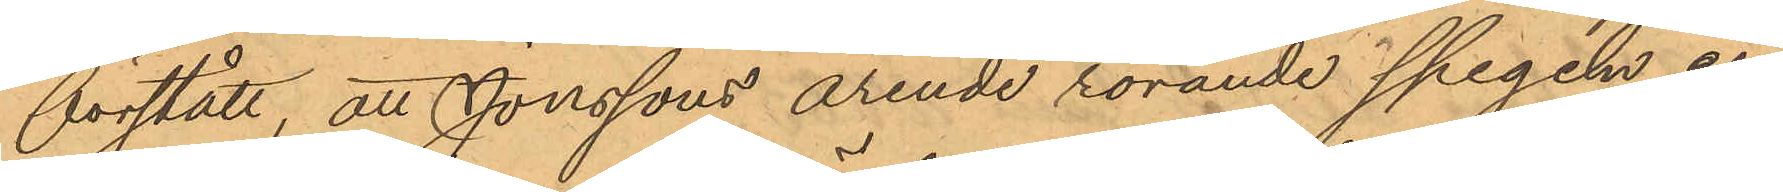förstått, att Jonssons ärende rörande spegeln en¬
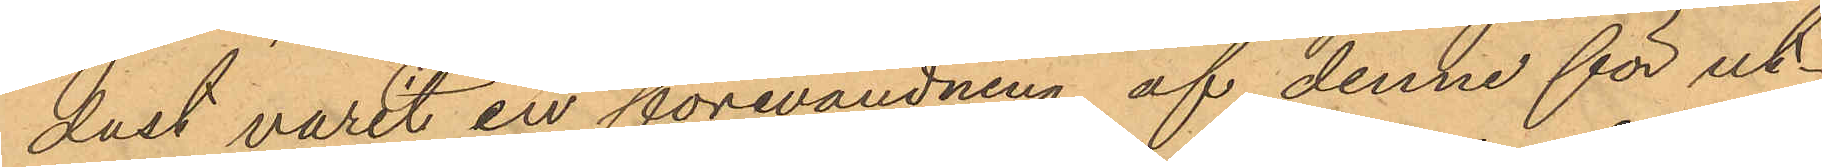dast varit en förevändning af denne för ut¬
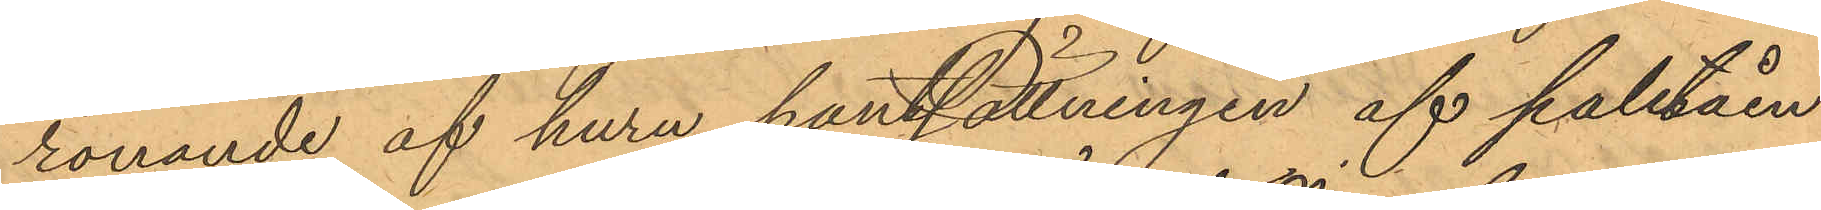rönande af huru pantsättningen af paletåen
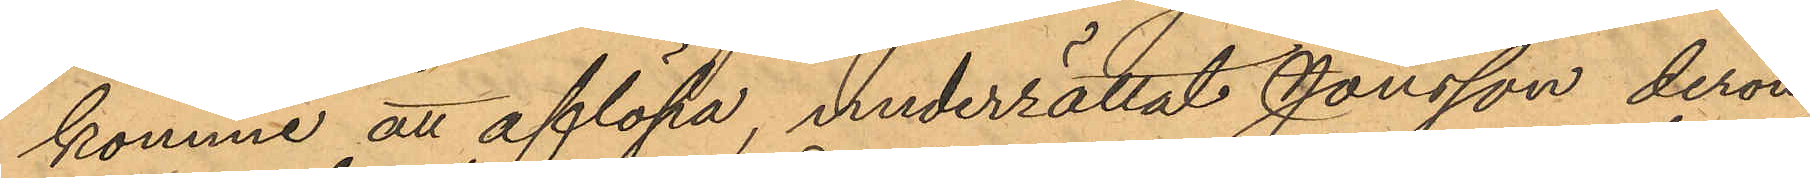komme att aflöpa, underrättat Jonsson derom
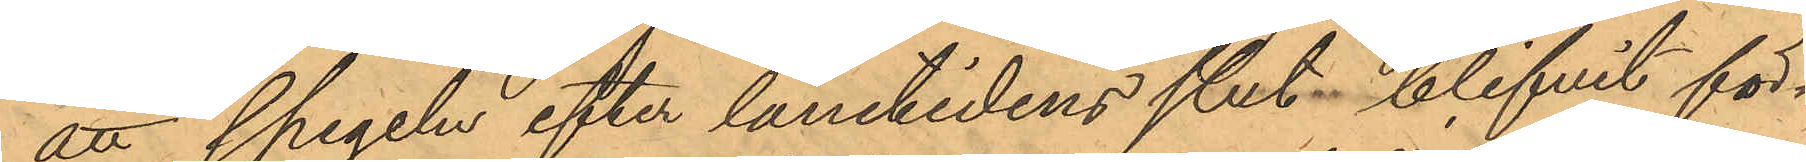att spegeln efter lånetidens slut blifvit för¬
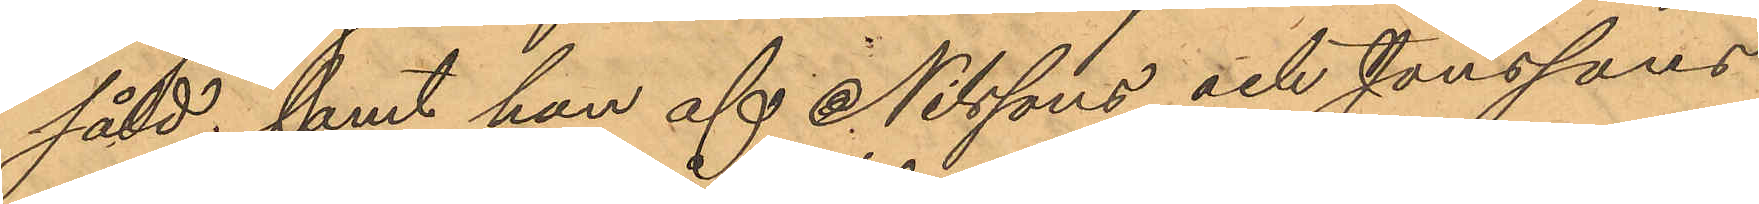såld; samt han af Nilssons och Jonssons
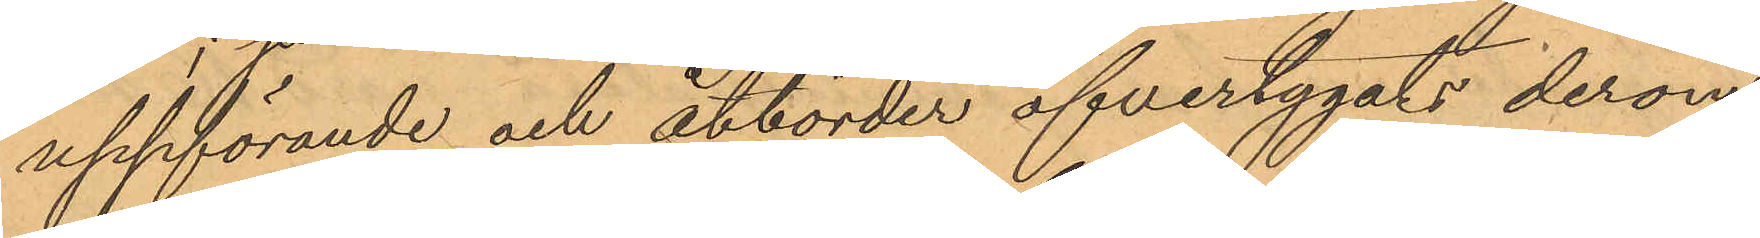uppförande och åtbörder öfvertygats derom
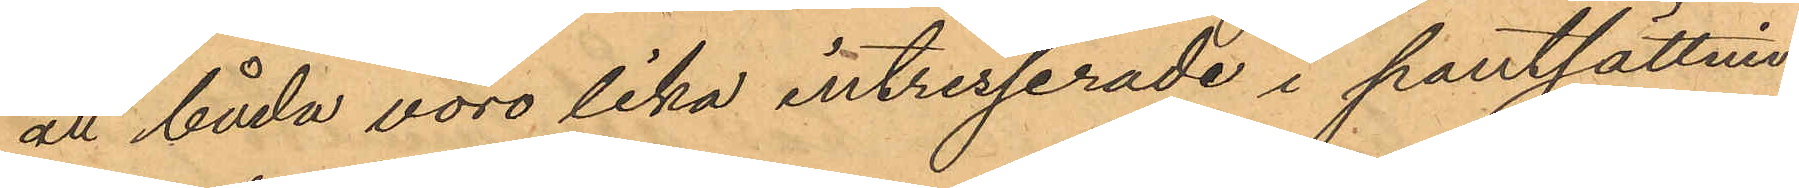att båda voro lika intresserade i pantsättnin¬
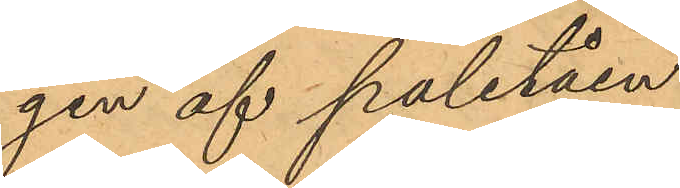gen af paletåen.
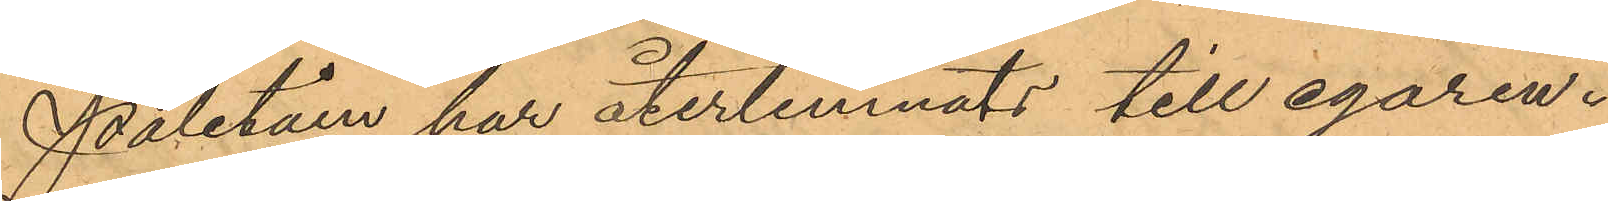Paletån har återlemnats till egaren.
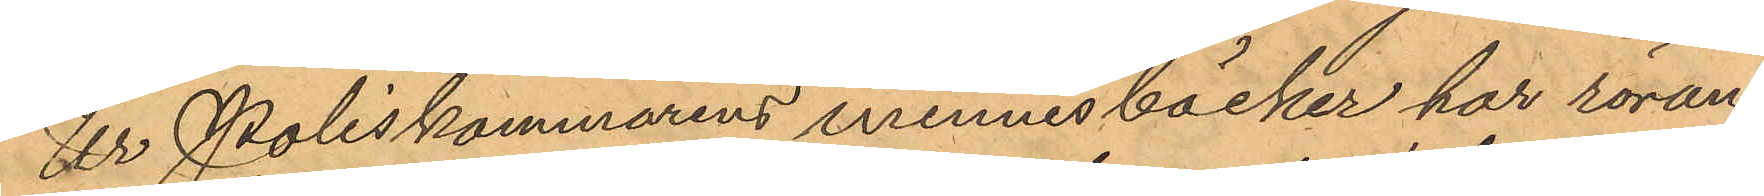Ur Poliskammarens minnesböcker har röran¬
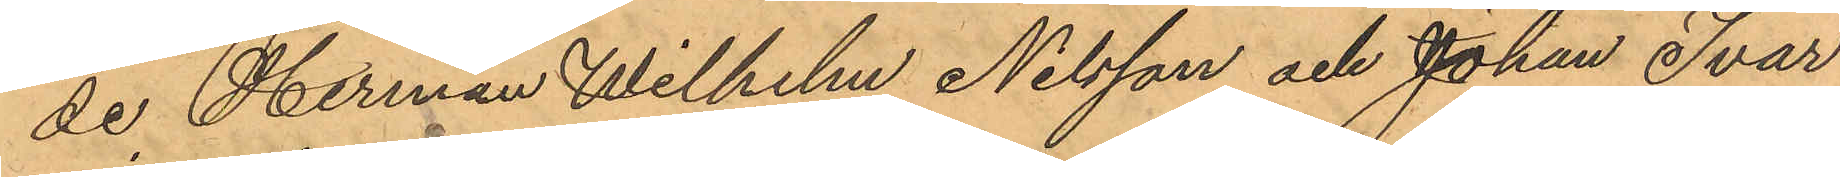de, Herman Wilhelm Nilsson och Johan Ivar
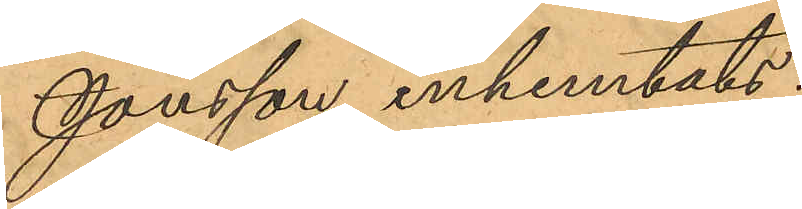Jonsson inhemtats:
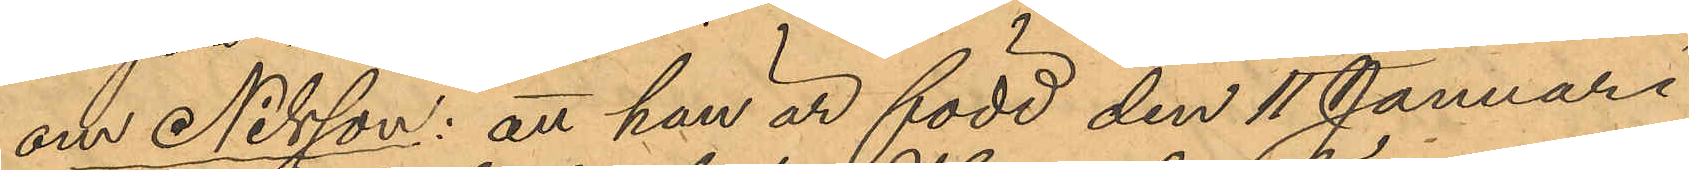om Nilsson: att han är född den 11 Januari
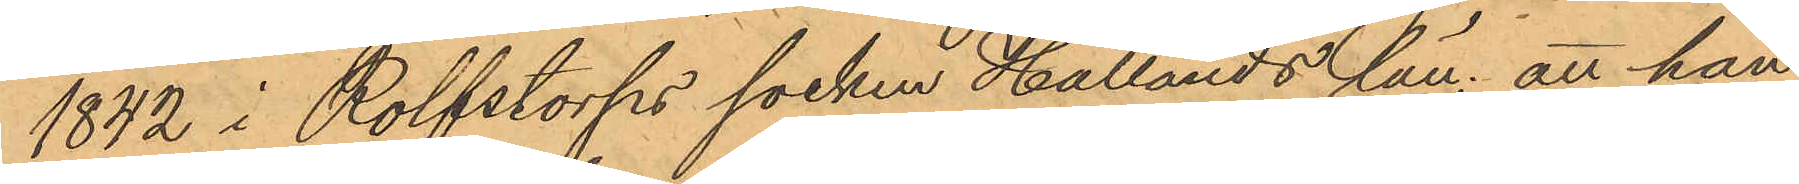1842 i Rolfstorps socken Hallands län; att han
